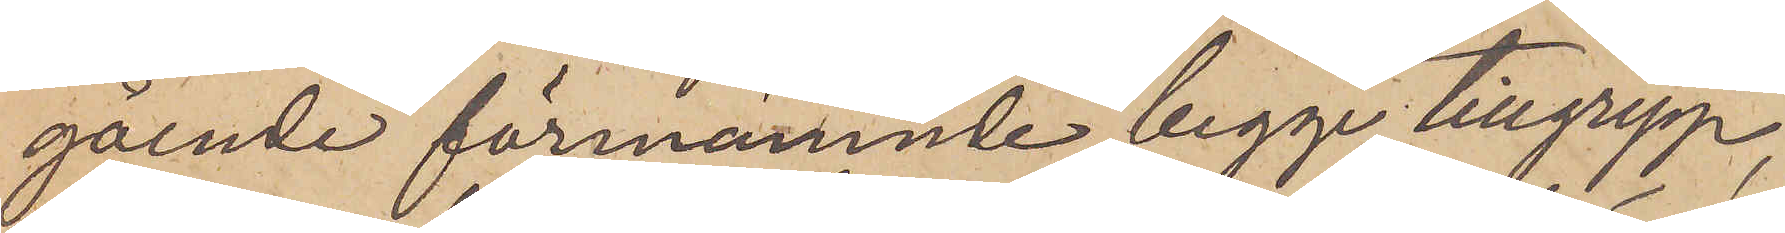gående förenämnde begge tillgrepp,
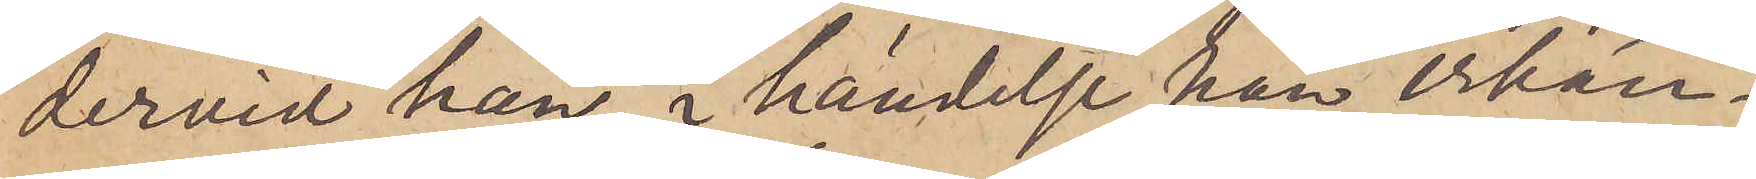dervid han, i händelse han erkän¬
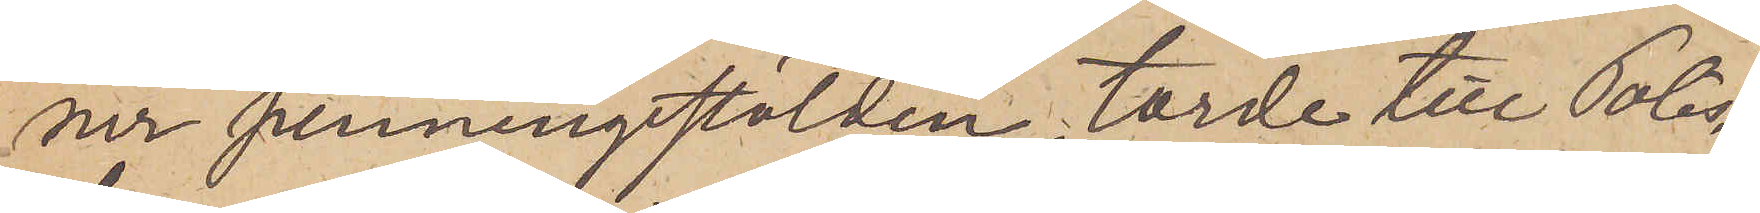ner penningsstölden, torde till Polis¬
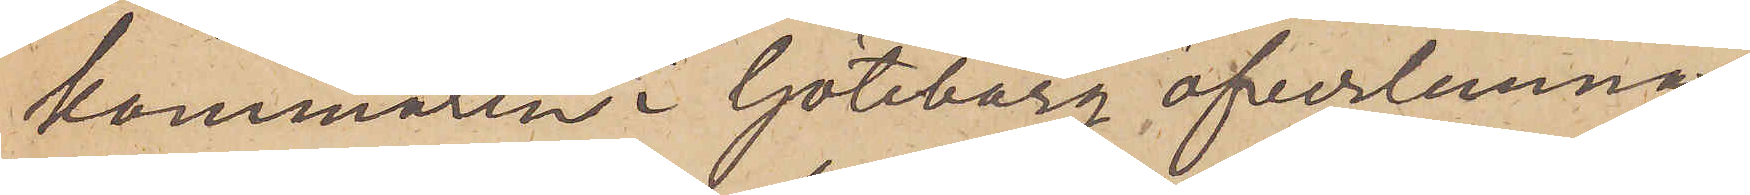kammaren i Göteborg öfverlemnas,
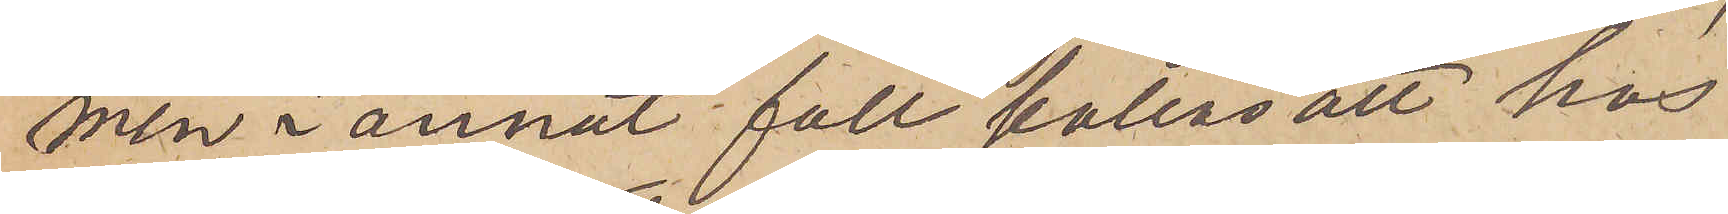men i annat fall kallas att hos
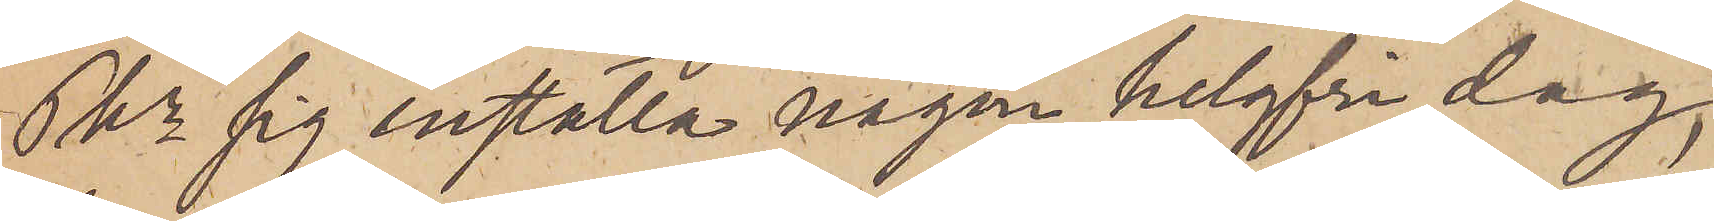Pkn sig inställa någon helgfri dag,
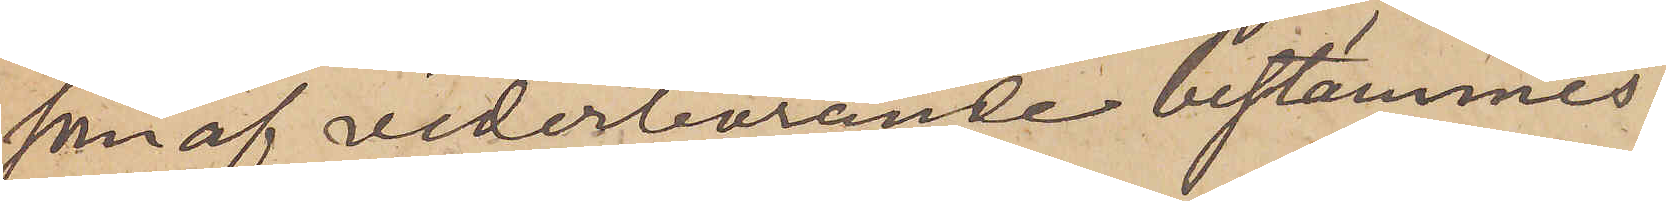som af vederbörande bestämmes.
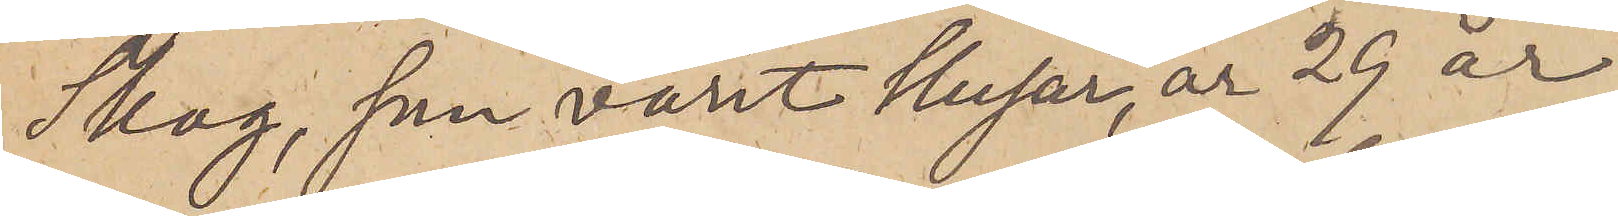Skog, som varit Husar, är 29 år
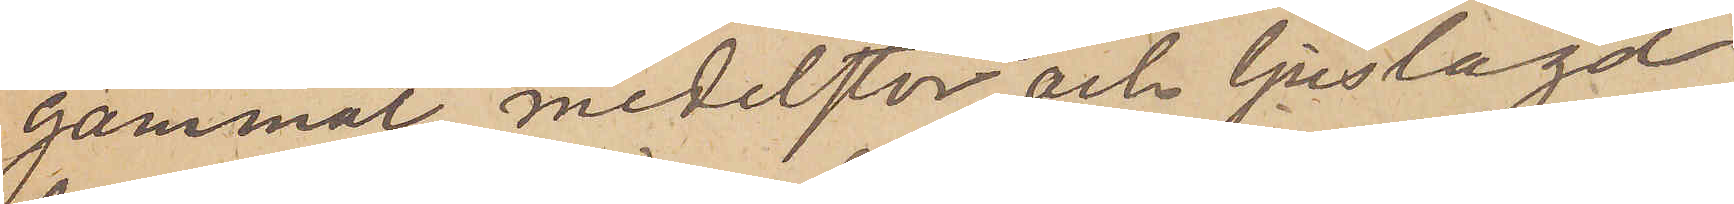gammal medelstor och ljuslagd,
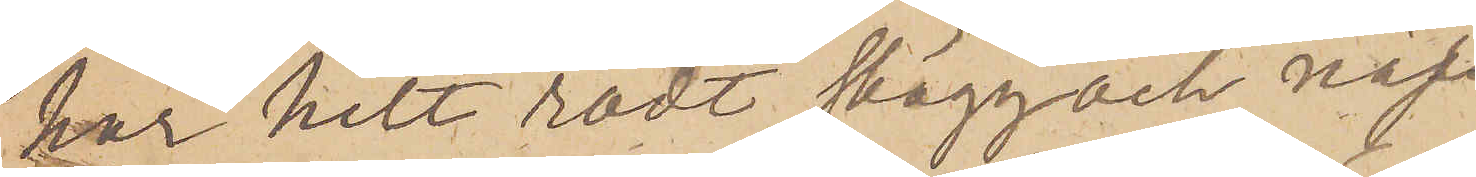har helt rödt skägg och näs¬
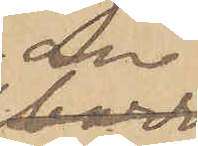an
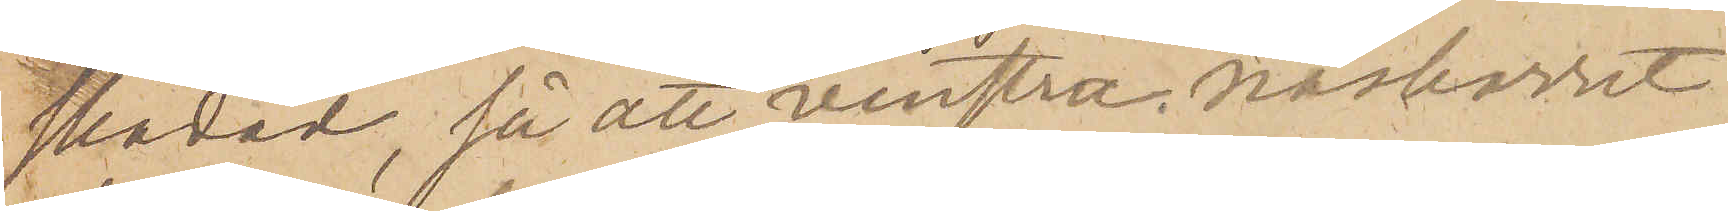skadad, så att venstra näsborret
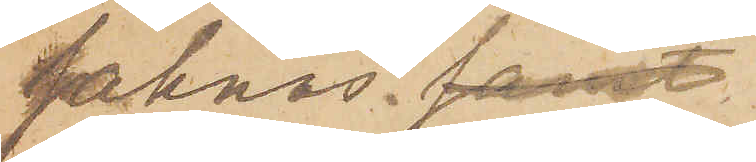saknas. samt
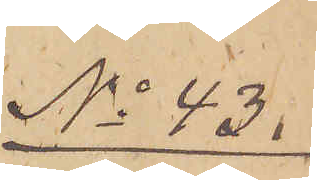No 43.
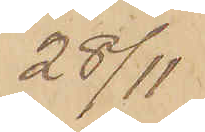28/11
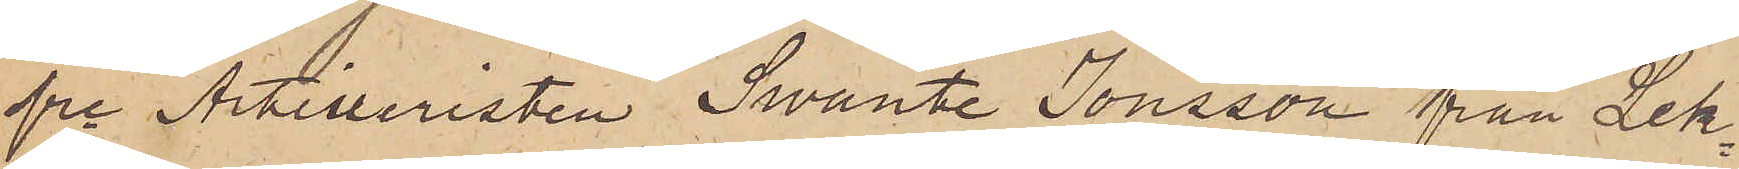fre Artilleristen Swante Jonsson från Lek¬
